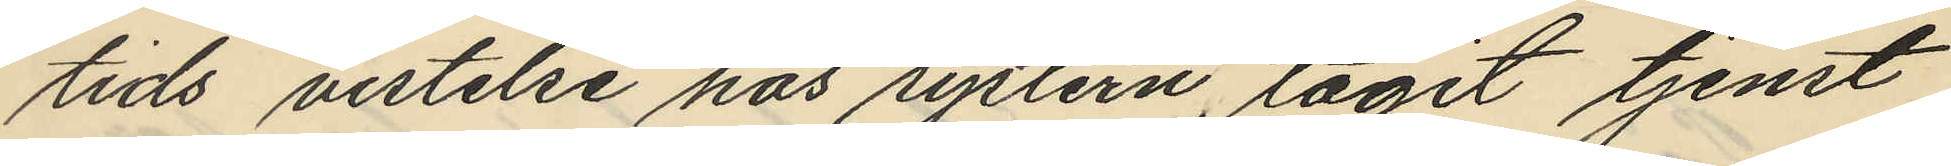tids vistelse hos systern, tagit tjenst
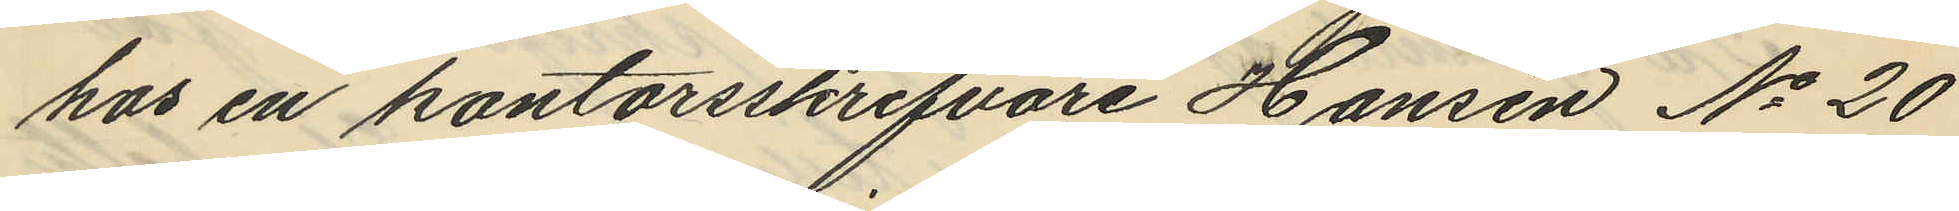hos en kontorsskrifvare Hansen No 20
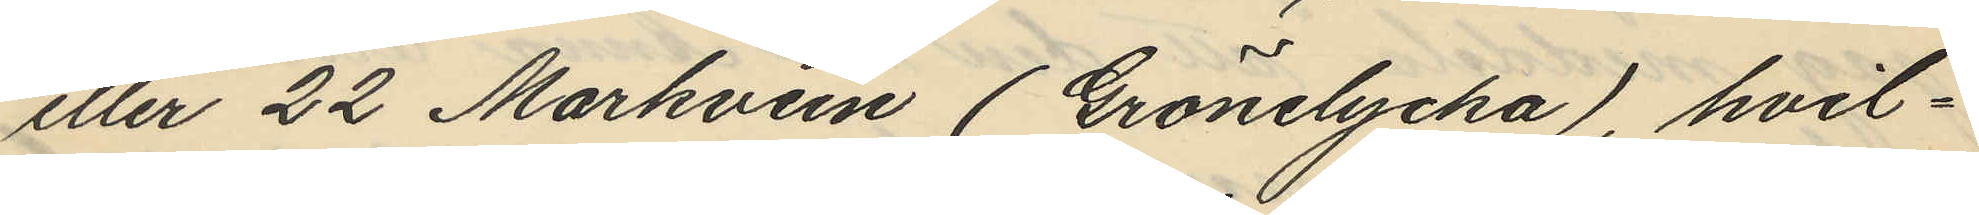eller 22 Markvein (Grönelycka), hvil¬
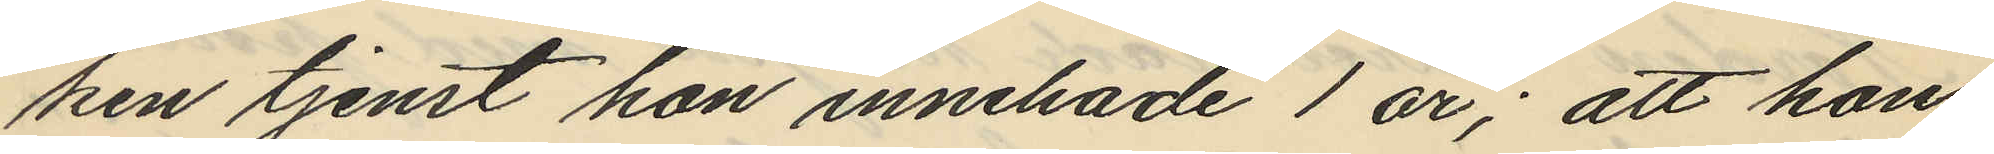ken tjenst hon innehade 1 år; att hon
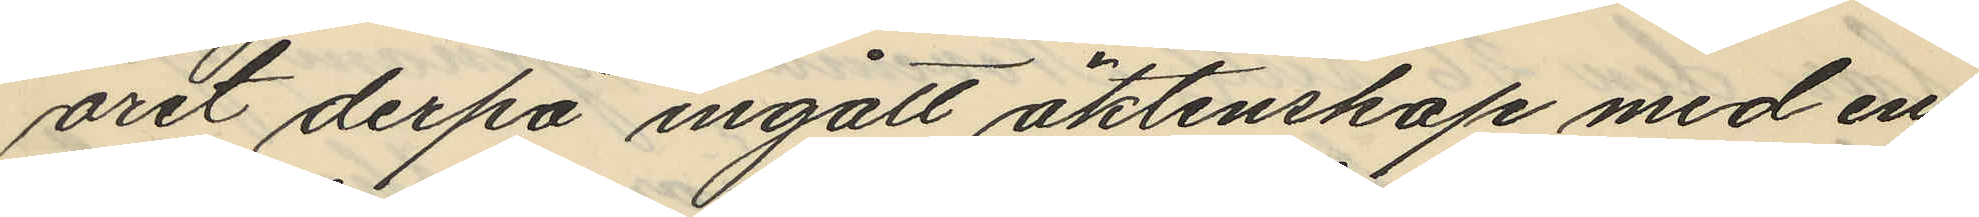året derpå ingått äktenskap med en
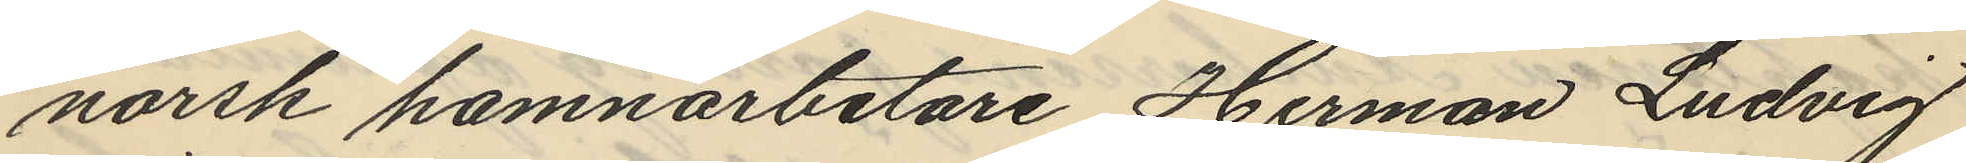norsk hamnarbetare, Herman Ludvig
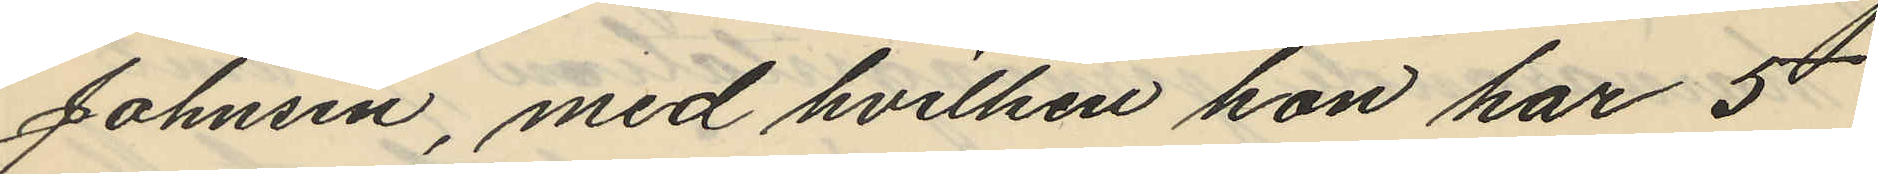Johnsen, med hvilken hon har 5
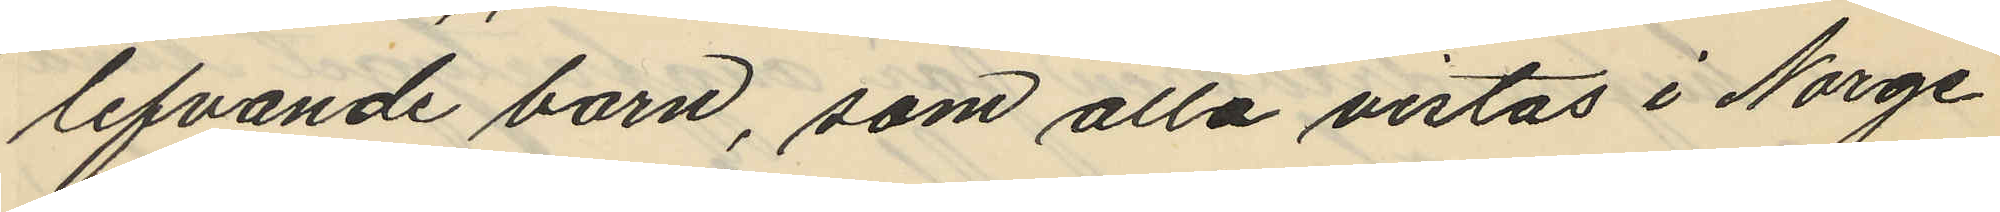lefvande barn, som alla vistas i Norge
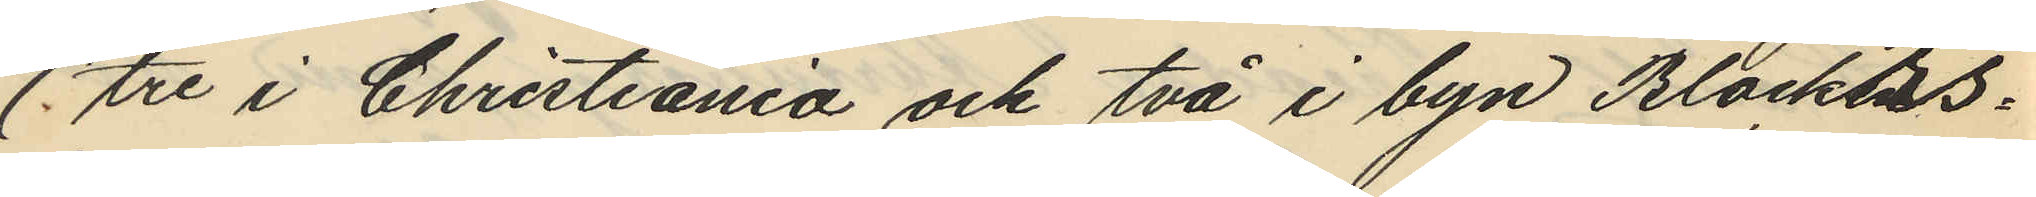(tre i Christiania och två i byn Blockers¬
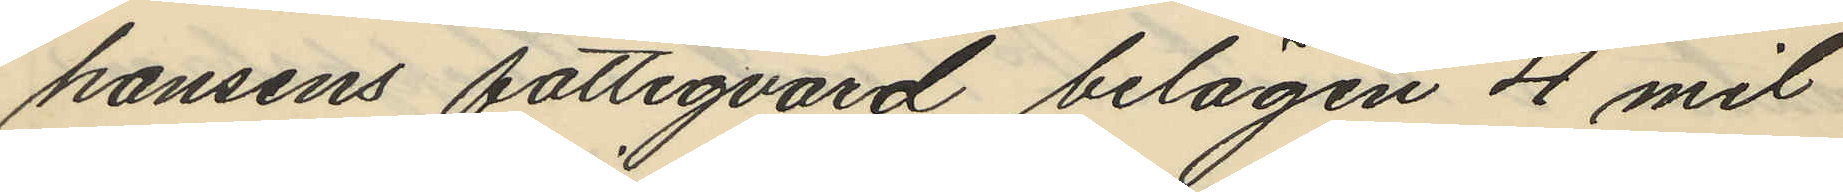hansens fattigvård belägen 4 mil
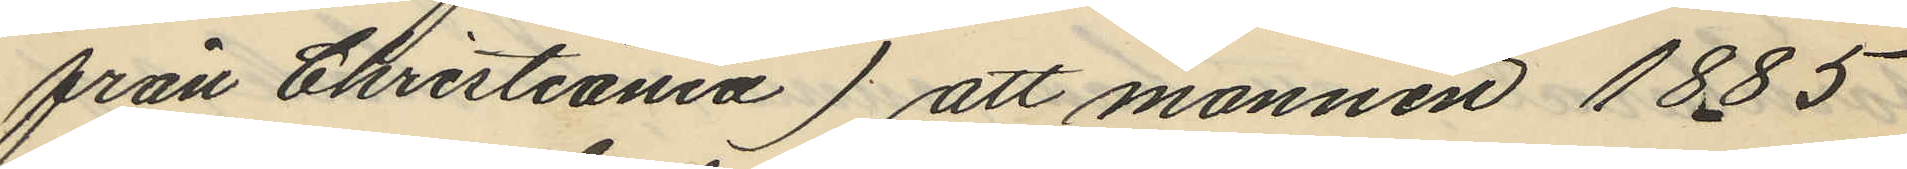från Christiania) att mannen 1885
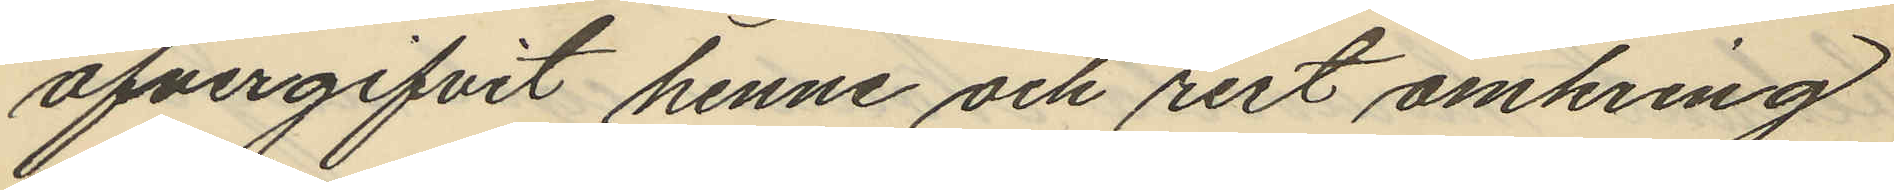öfvergifvit henne och rest omkring
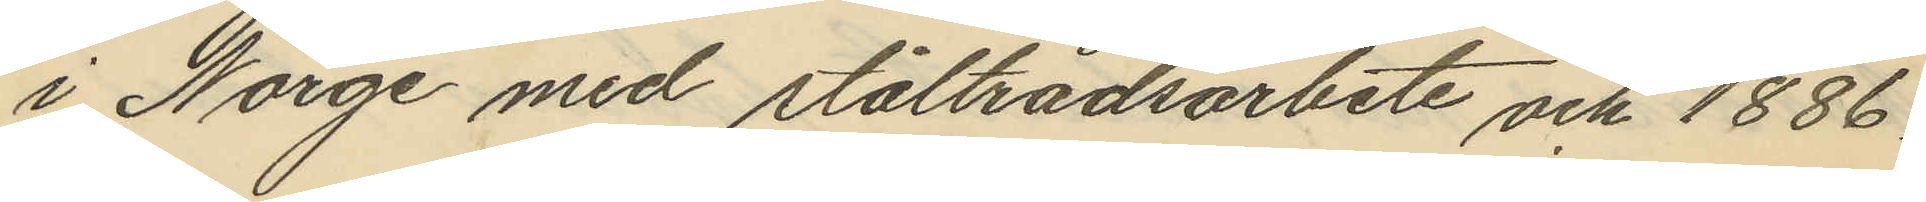i Norge med ståltrådsarbete och 1886
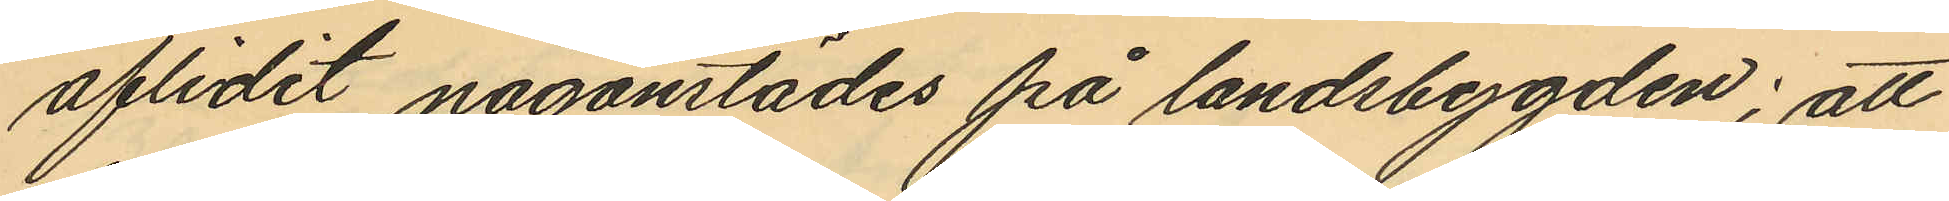aflidit någonstädes på landsbygden; att
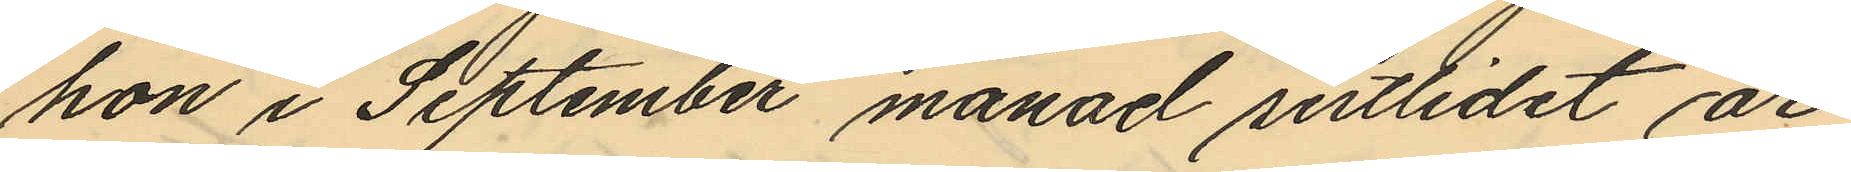hon i September månad sistlidet år
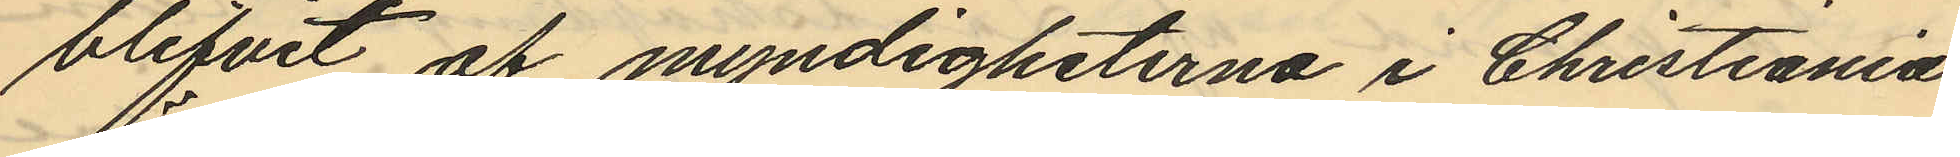blifvit af myndigheterna i Christiania
